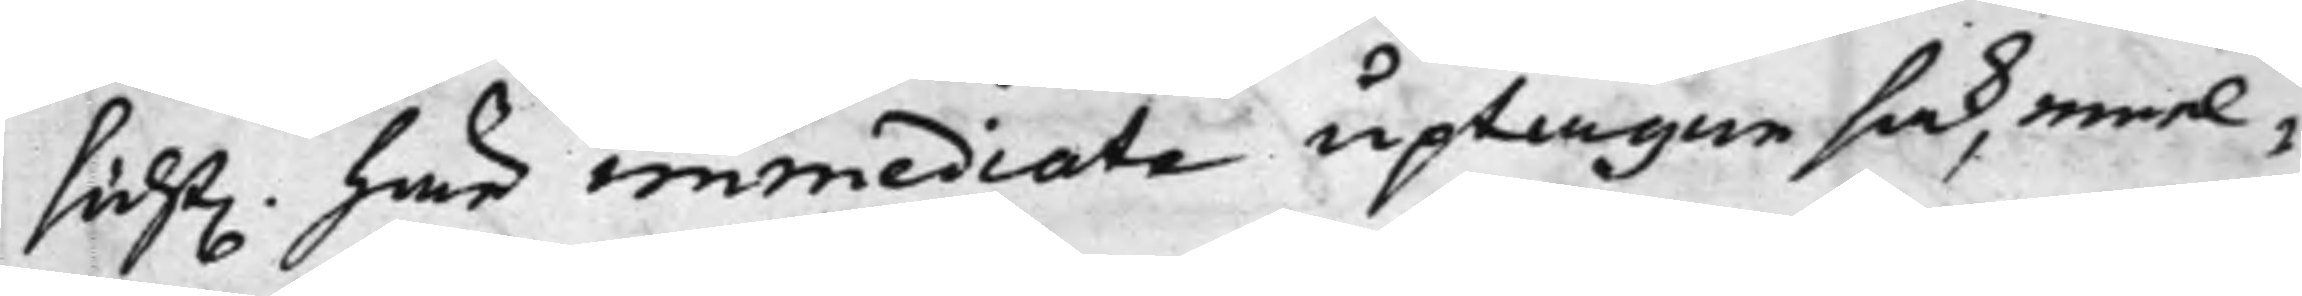sidst. här immediate uptagne sak, emel¬
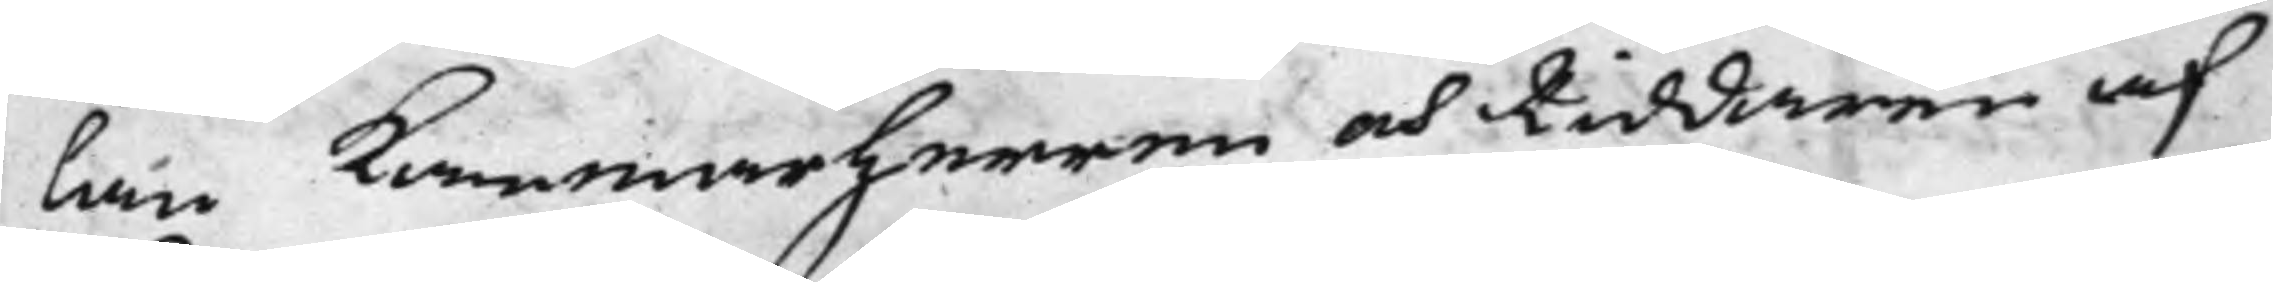lan Kammarherren och Riddaren af
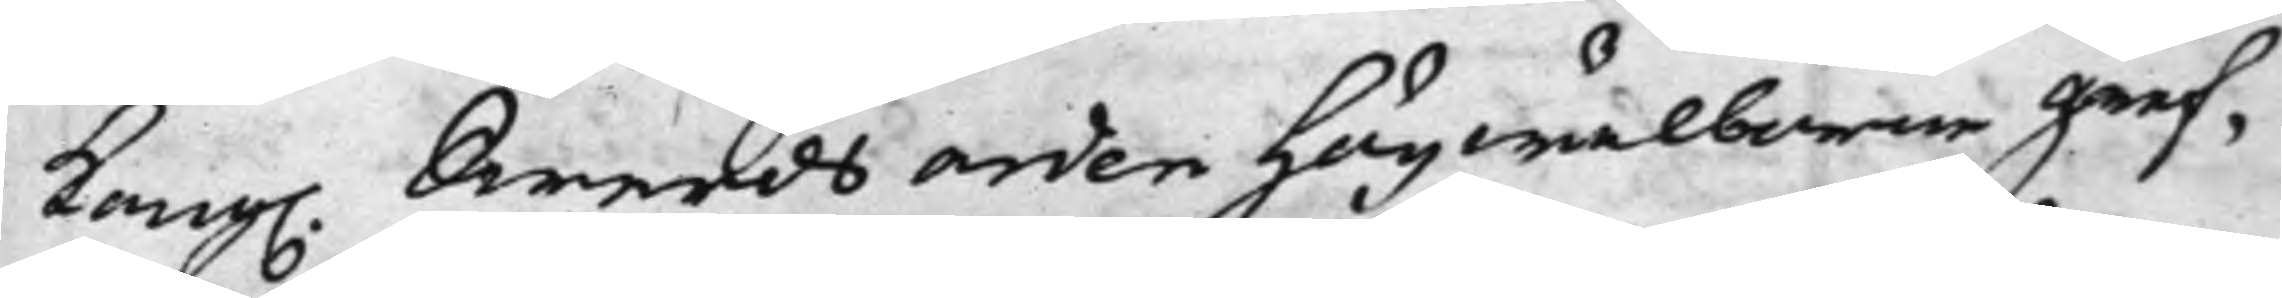Kong. Swerdsorden Högwälborne Gref¬
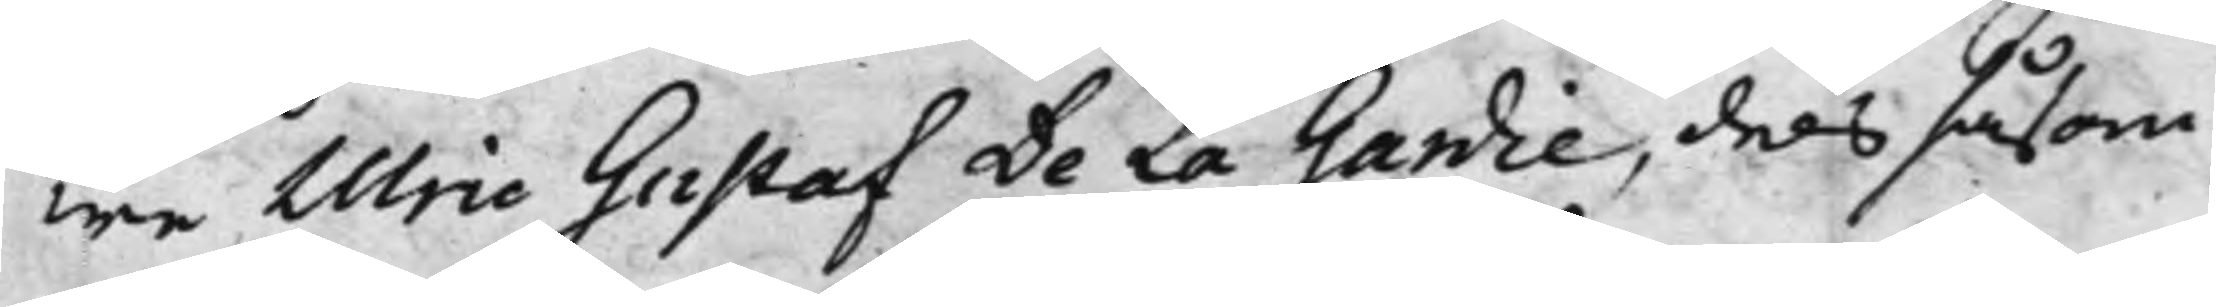we Uric Gustaf De La Gardie, dels såsom
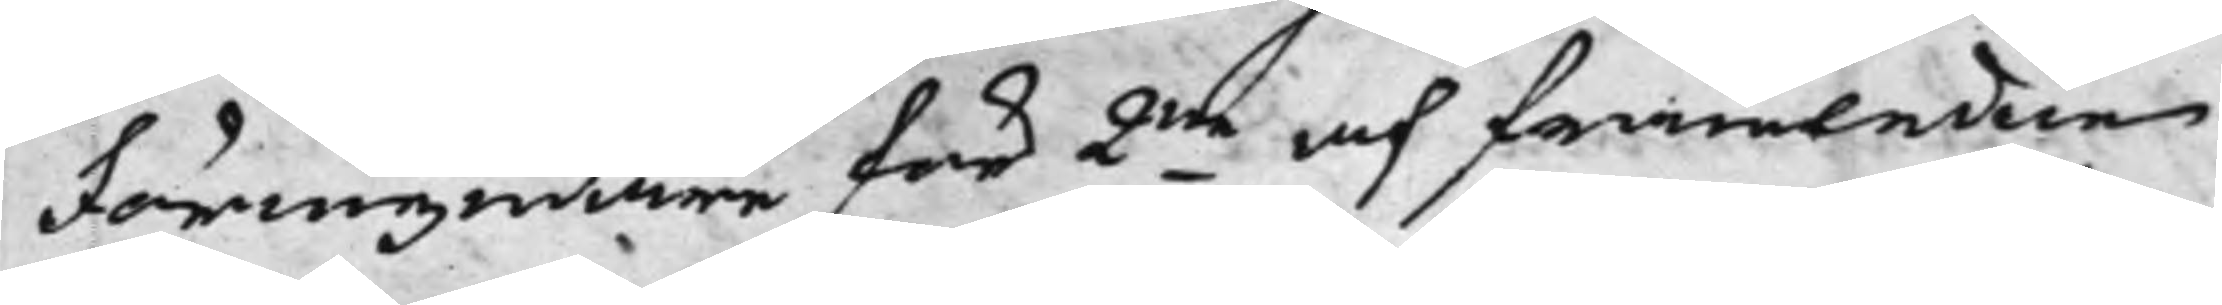Förmyndare för 2ne af framledne
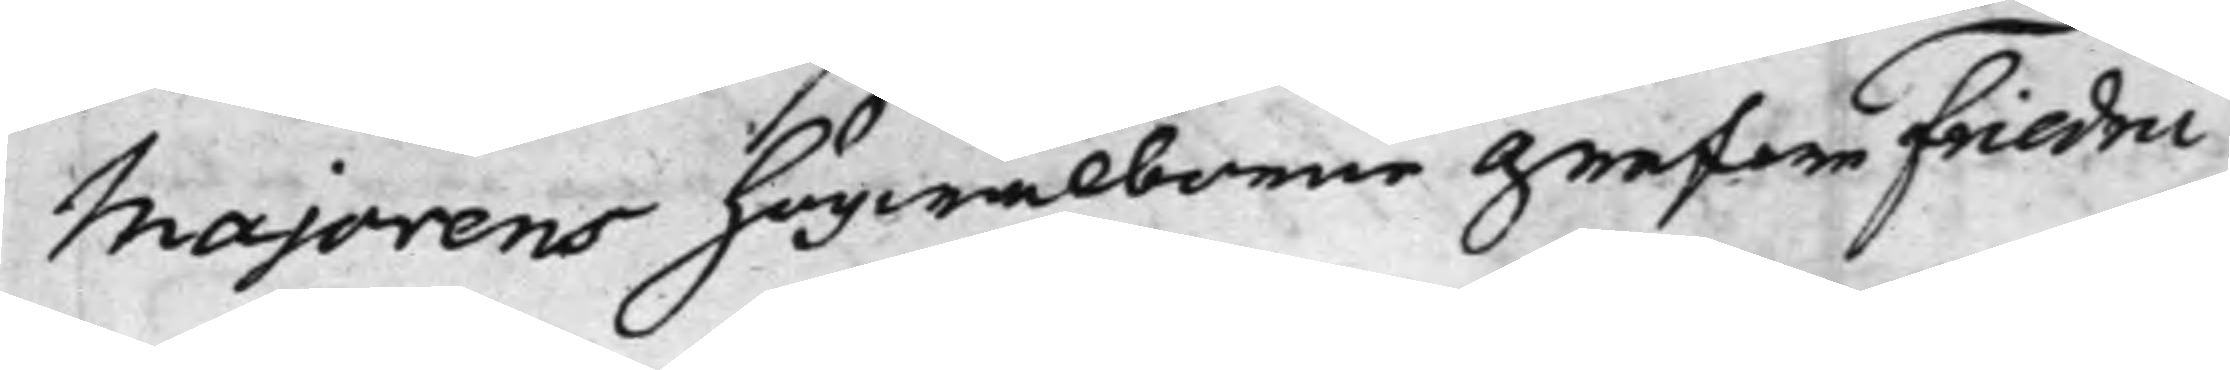Majorens Högwälborne Grefwe Friedric
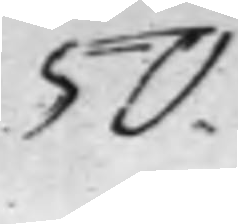50.
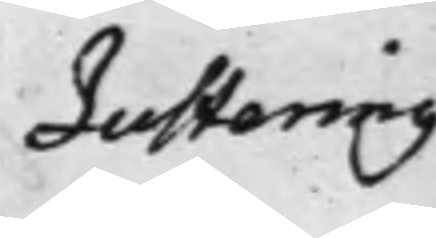Justering
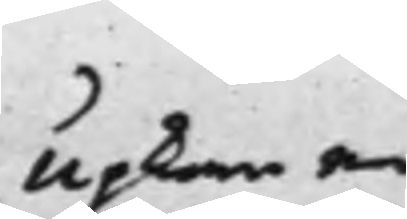Upkom en
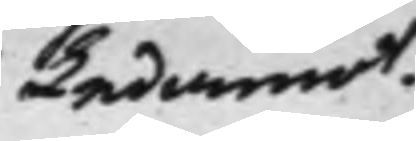Ledamot.
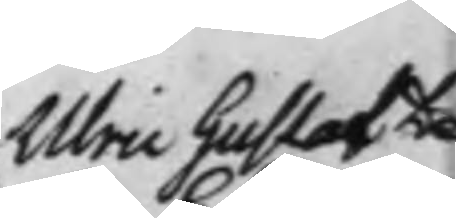Ulric Gustaf De
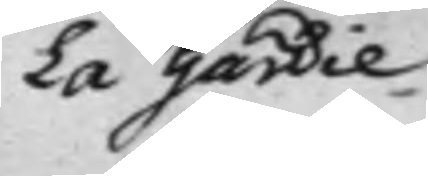La Gardie
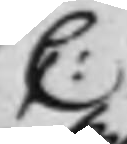C:
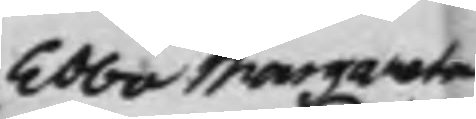Ebba Margareta
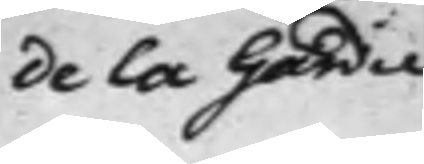de la Gardie
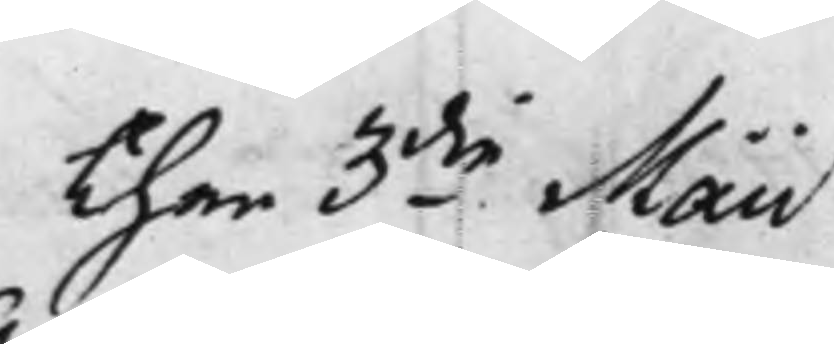Then 3die Maii
